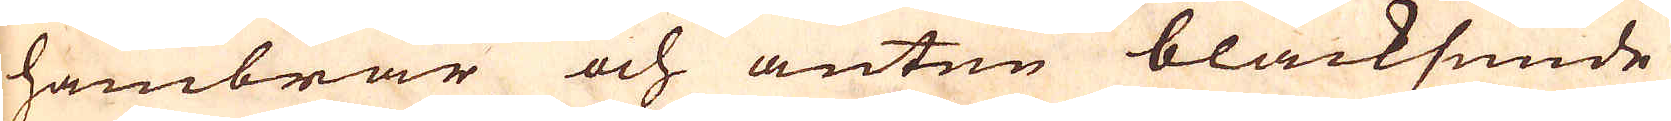hambrar och anten bläcksmide
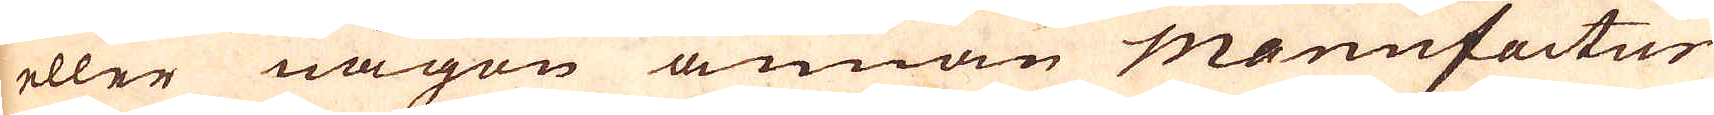eller någon annan Manufactur
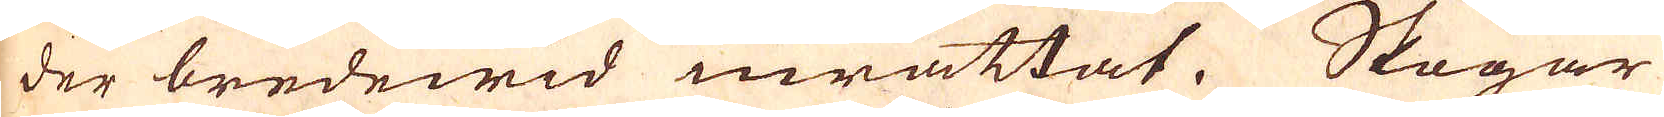der bredewid inrättat. Skogar
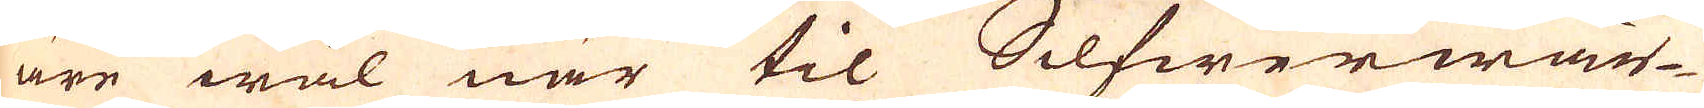äre wäl när til Silfwerwär-
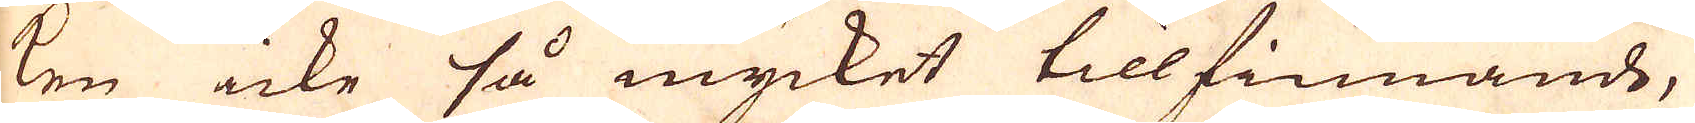ken icke så mycket tillfinnande,
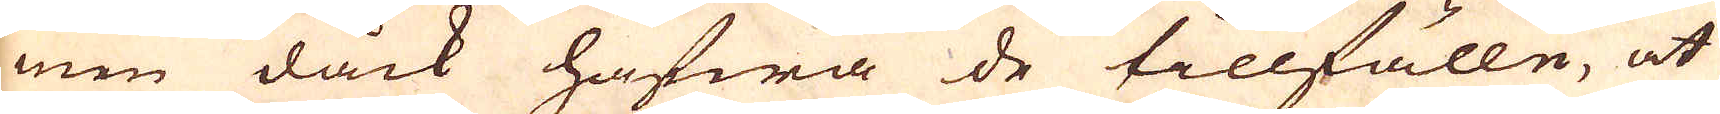men dåck hafwa de tillfälle, at
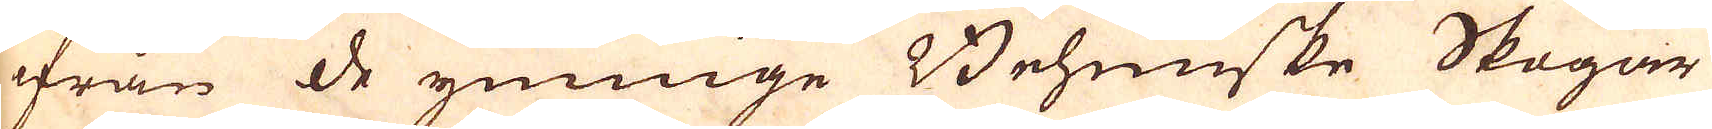ifrån de ymnige Behmiske Skogar
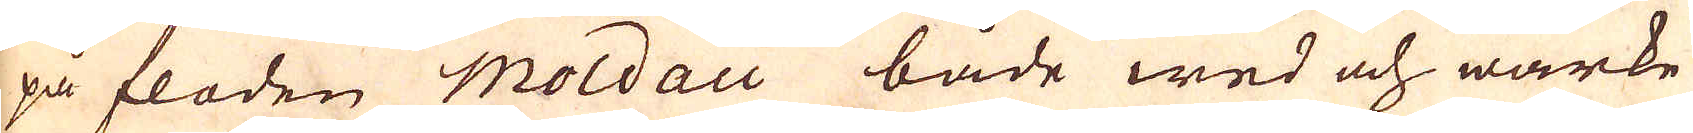på floden Moldau både wed och wärke
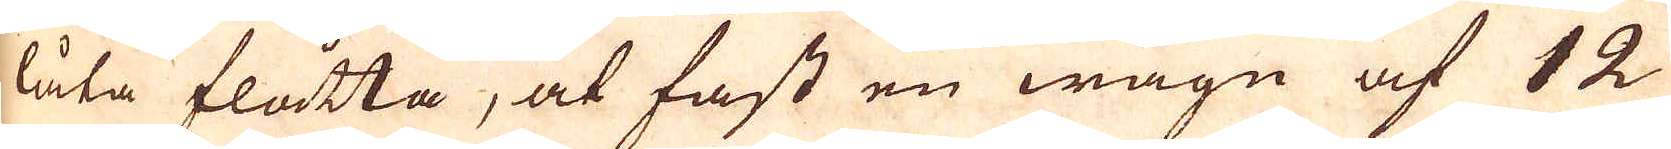låta flåtta, at fast en wagn af 12
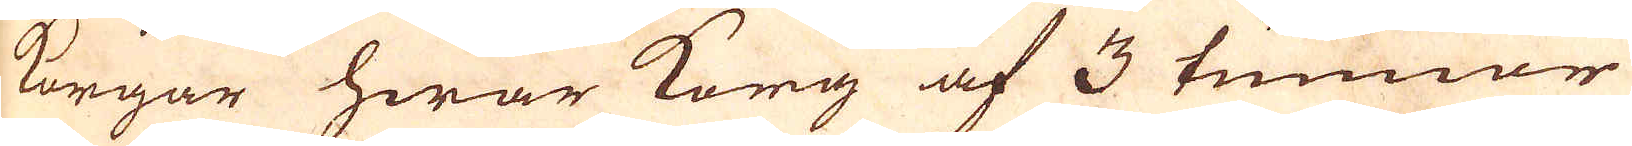korgar hwar korg af 3 tunnor
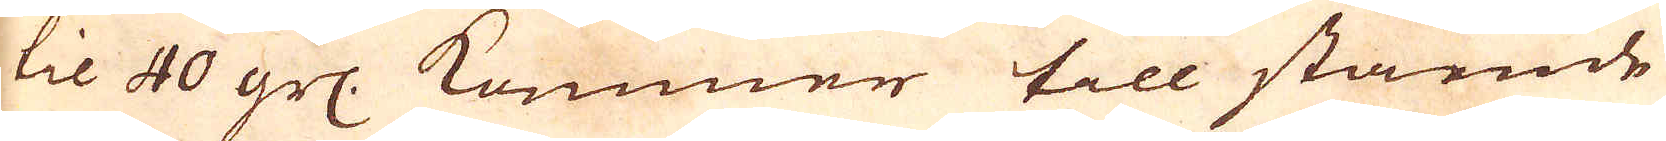til 40 grs: kommer till stående
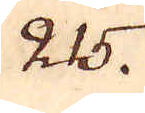215.
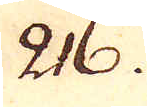216.
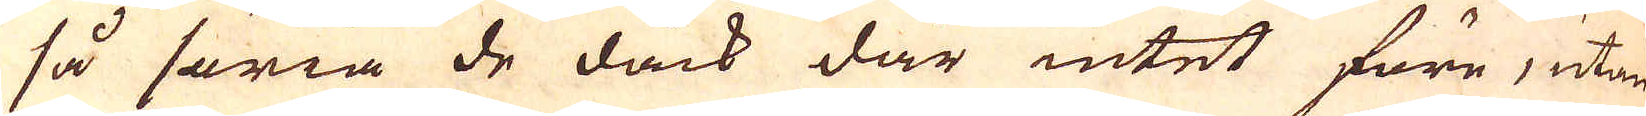så säria de dåck där intet före, utan
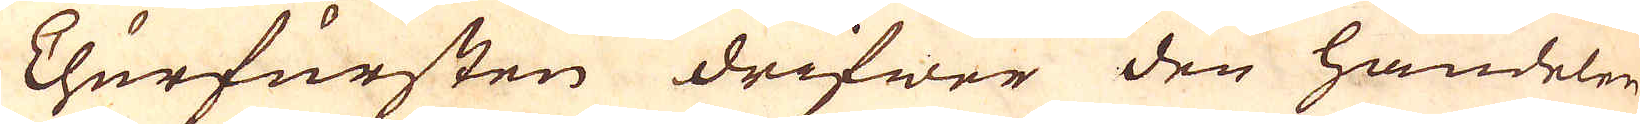Churfursten drifwer den handelen
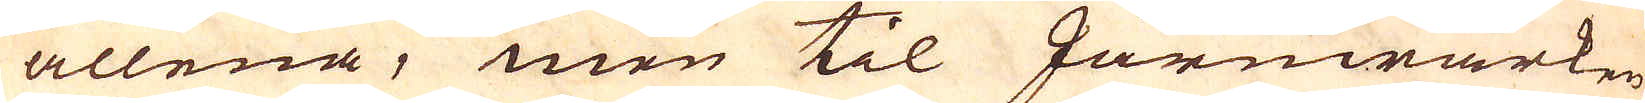allena, men til Järnwärken
